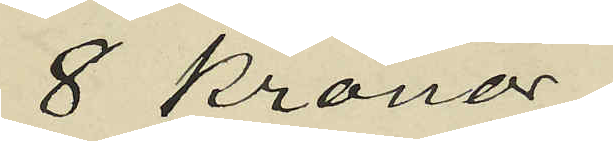8 Kronor;
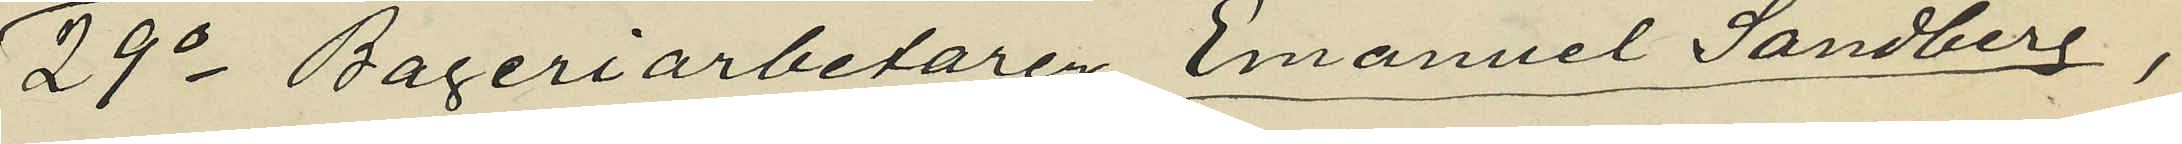29o Bageriarbetaren Emanuel Sandberg,
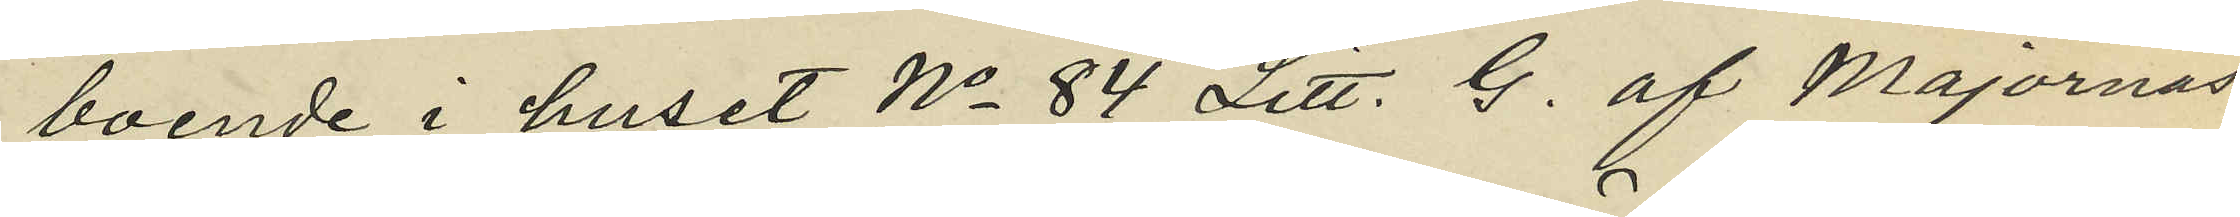boende i huset No 84 Litt. G. af Majornas
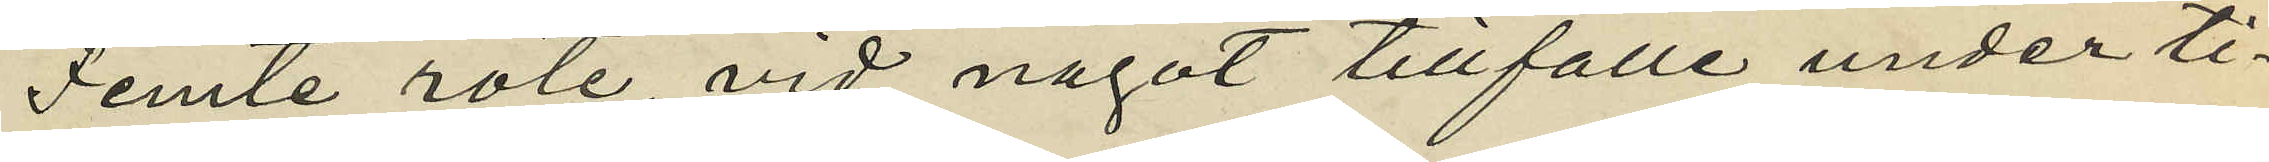Femte rote vid något tillfälle under ti¬
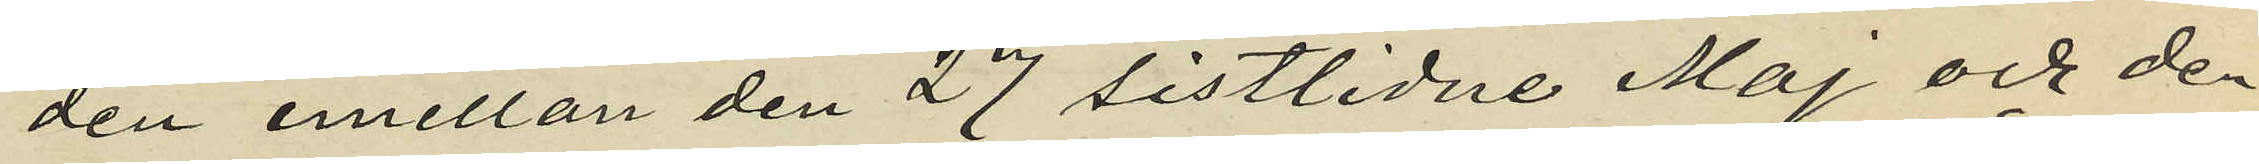den emellan den 27 sistlidne Maj och den
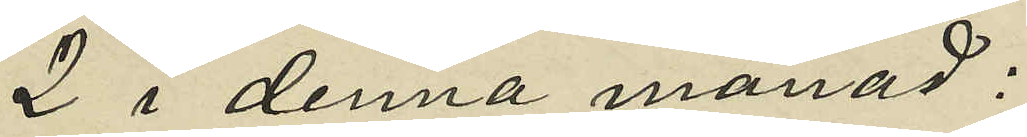2 i denna månad:
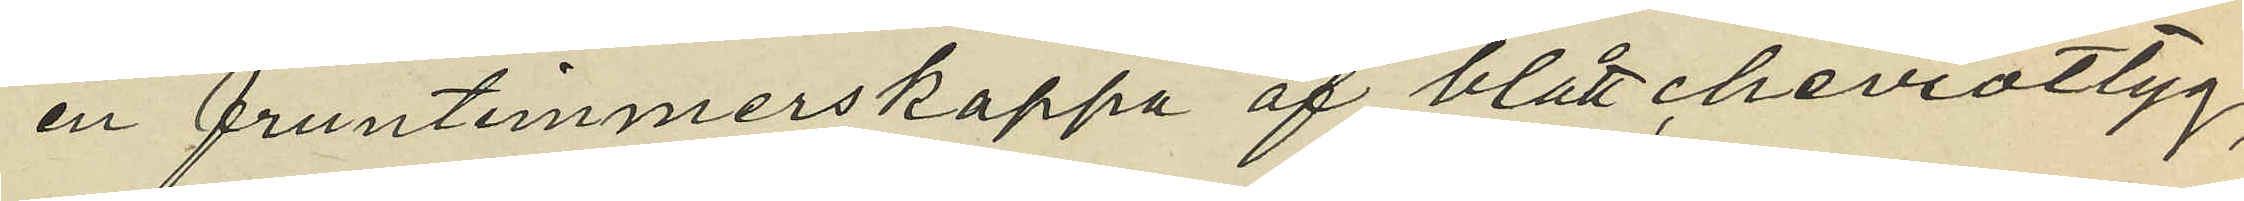en fruntimmerskappa af blått cheviottyg,
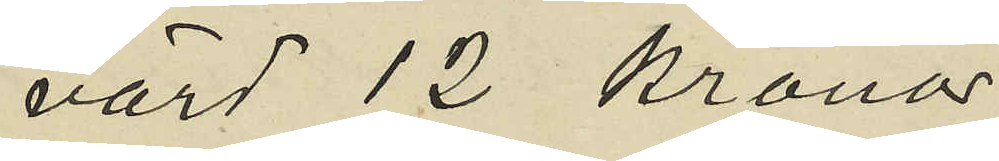värd 12 kronor;
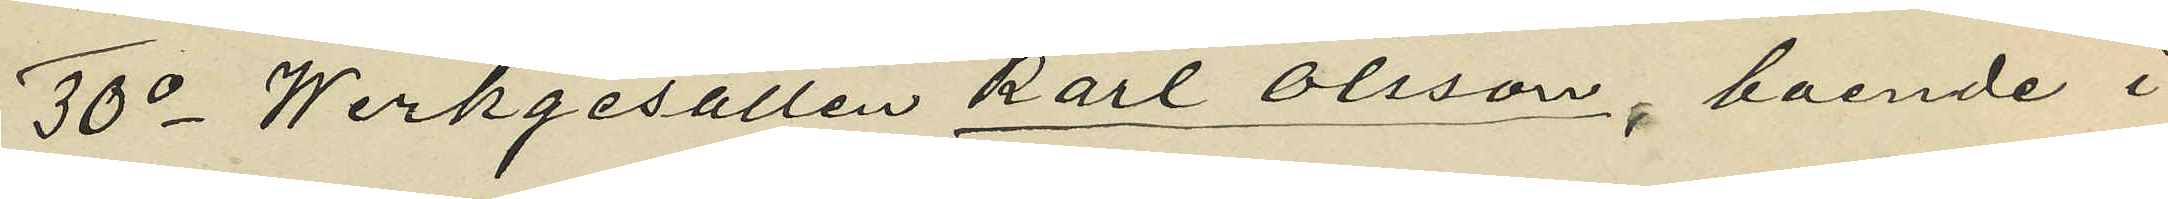30o Werkgesällen Karl Olsson, boende i
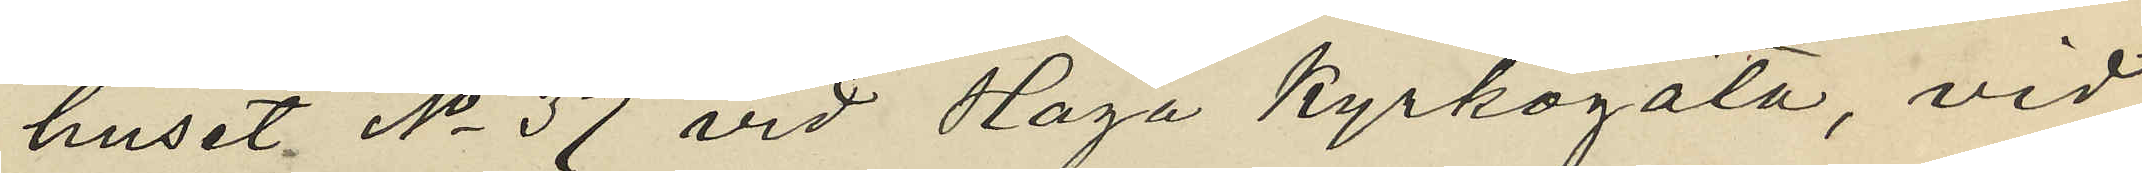huset No 37 vid Haga Kyrkogata, vid
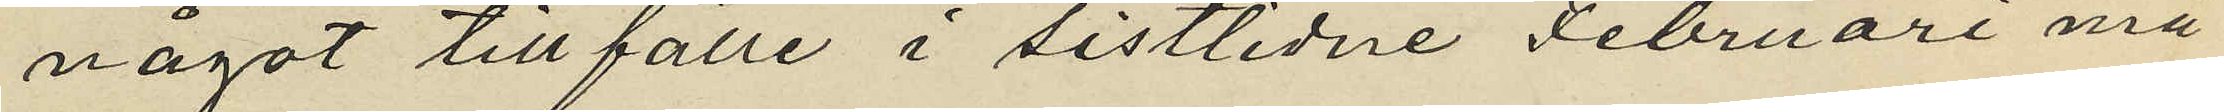något tillfälle i sistlidne Februari må¬
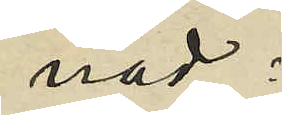nad;
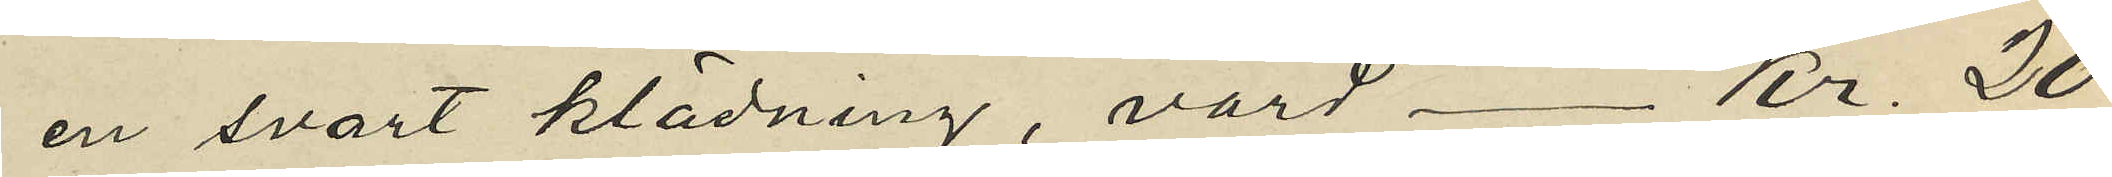en svart klädning, värd - Kr. 20:
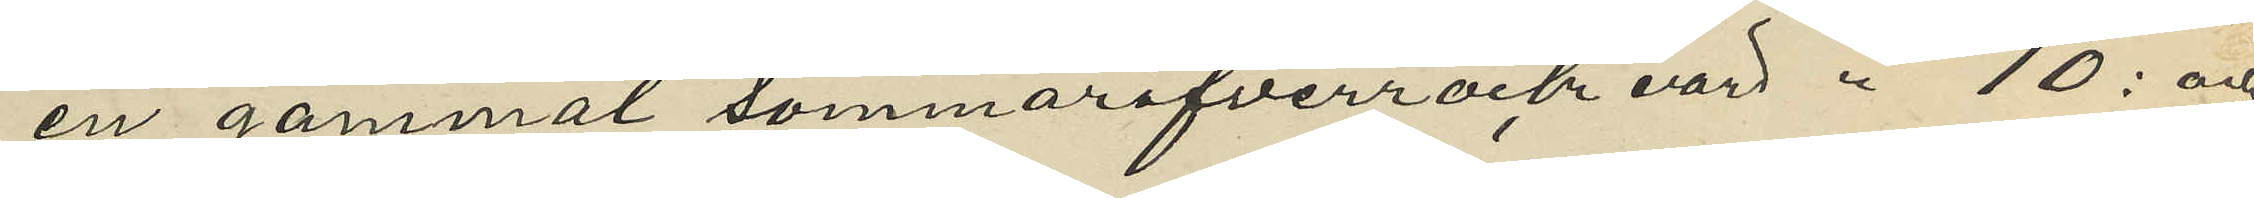en gammal sommaröfverrock värd " 10: och
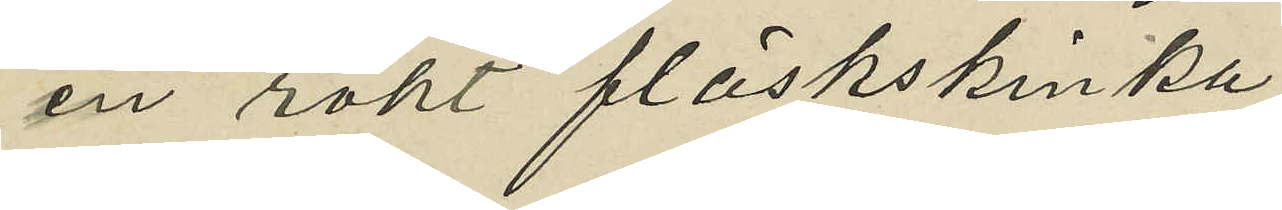en rökt fläskskinka
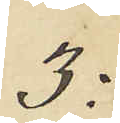3:
